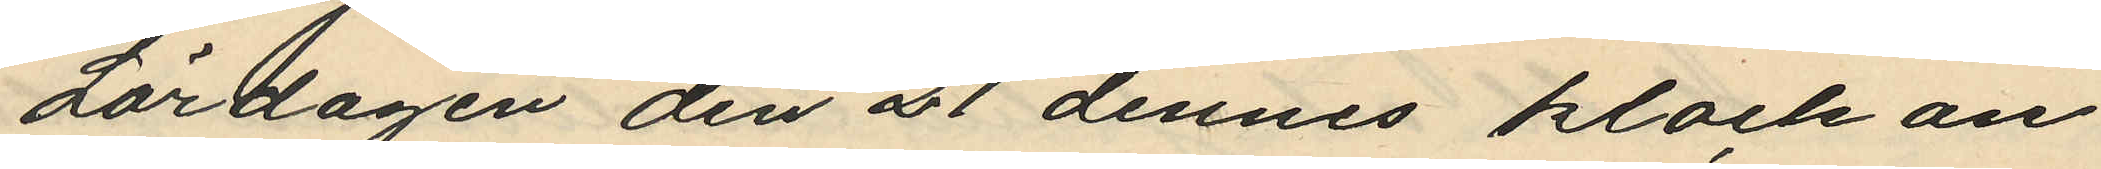Lördagen den 21 dennes klockan
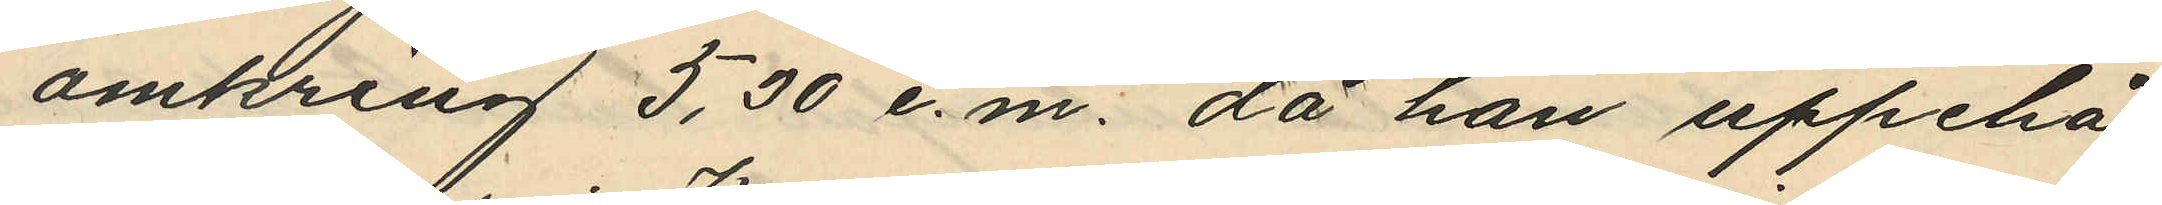omkring 5,30 e.m. då han uppehål¬
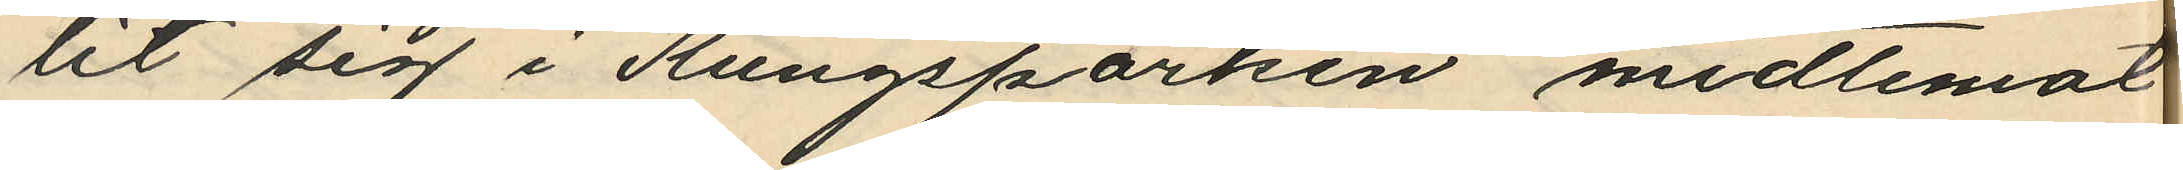lit sig i Kungsparken midtemot
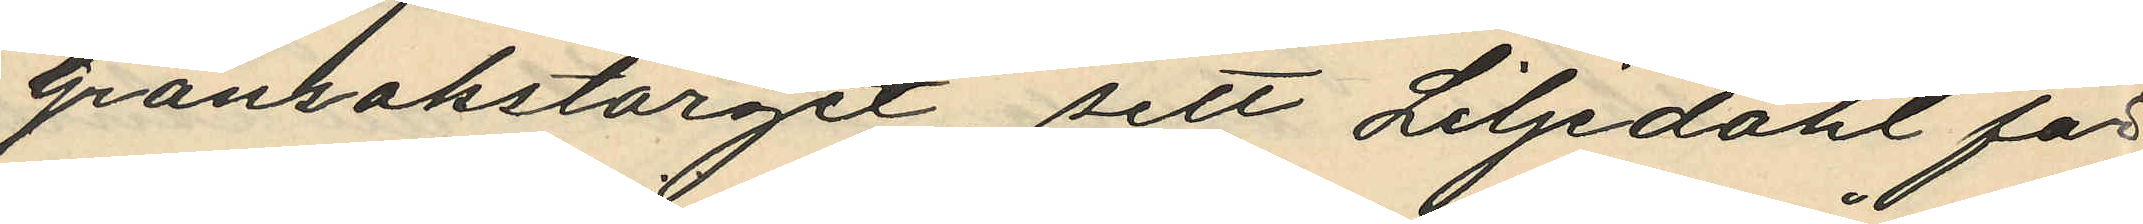Grönsakstorget, sett Liljedahl för
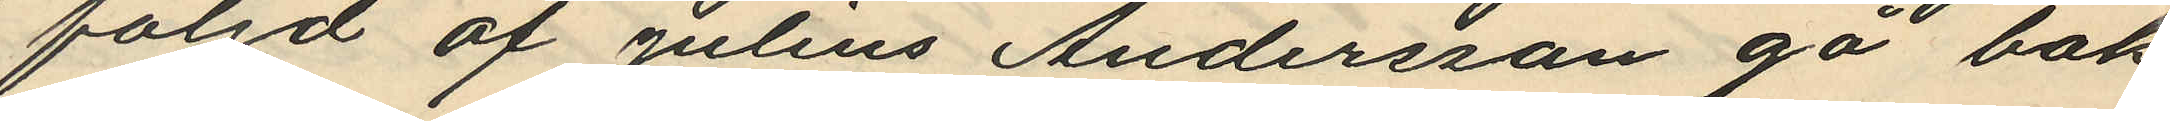följd af Julius Andersson gå bak¬
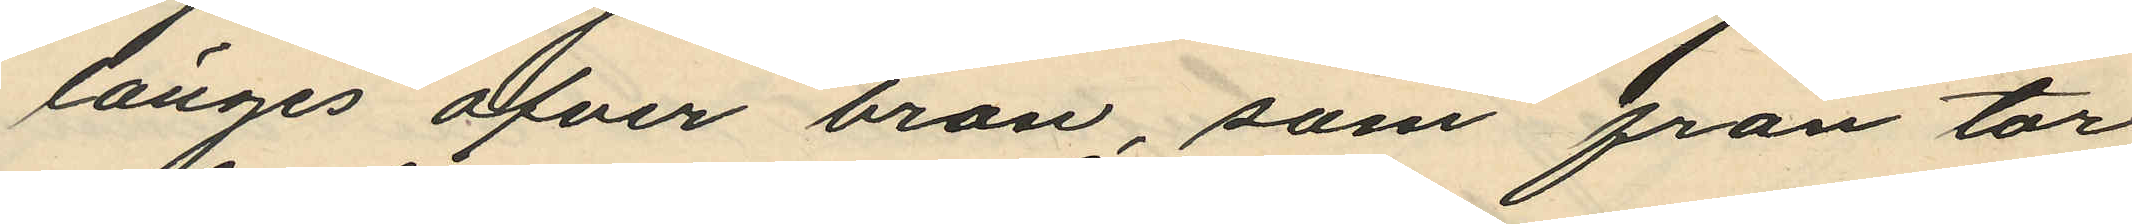länges ofver bron, som från tor¬
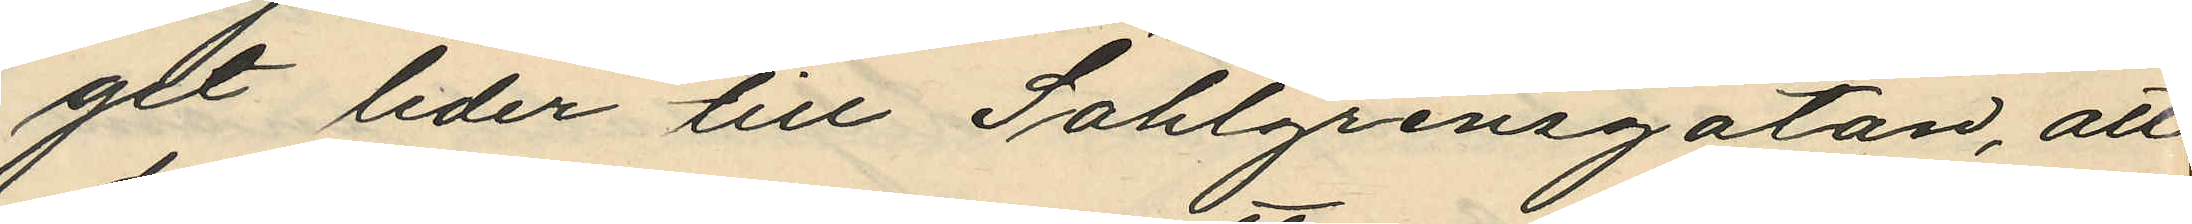get leder till Sahlgrensgatan, att
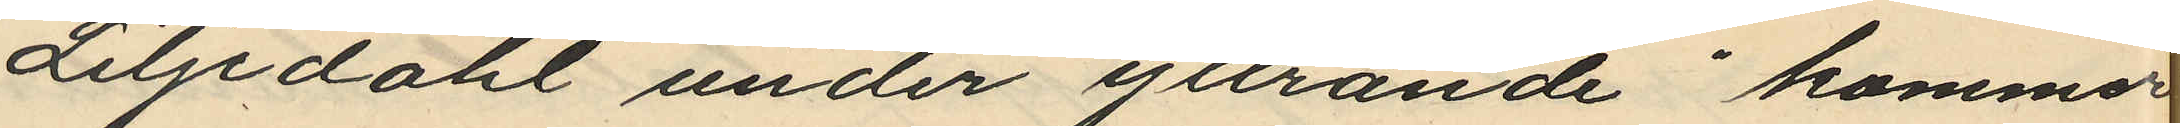Liljedahl under yttrande  "kommer
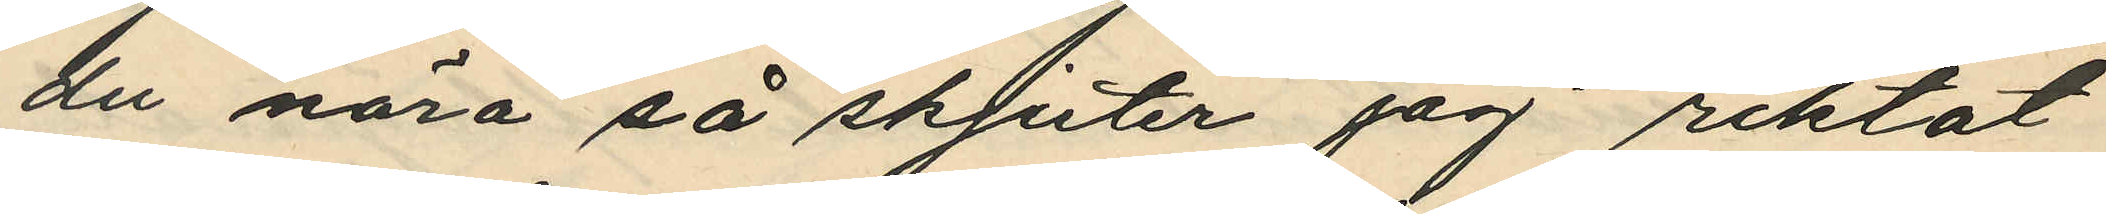du nära så skjuter jag" riktat
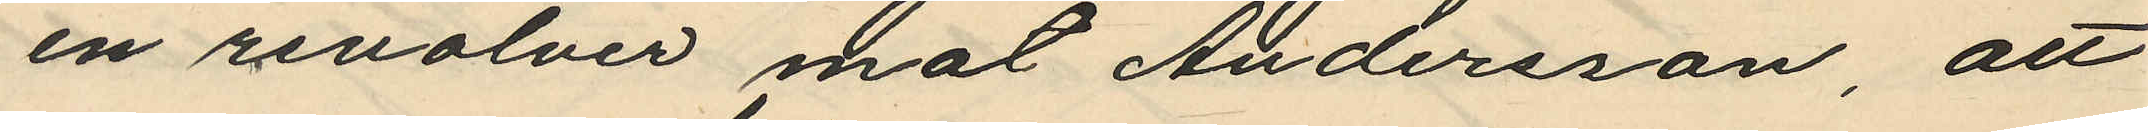en revolver mot Andersson, att
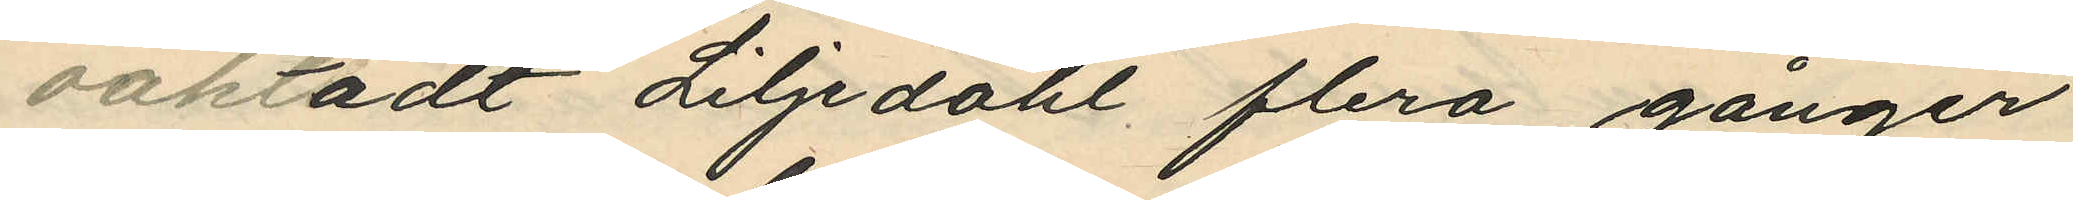oaktadt Liljdahl flera gånger
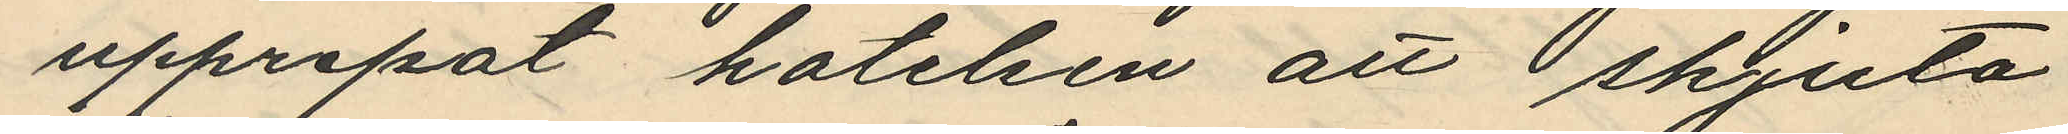upprepat hotelsen att skjuta
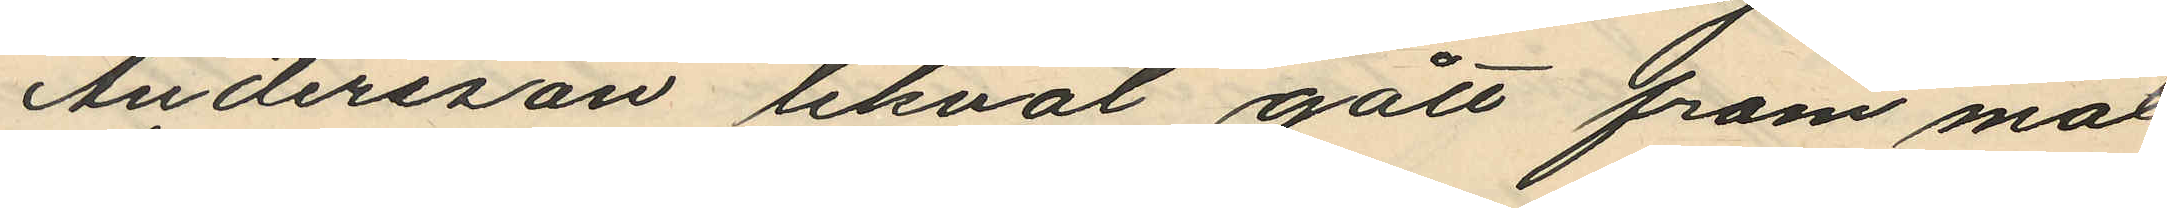Andersson likväl gått fram mot
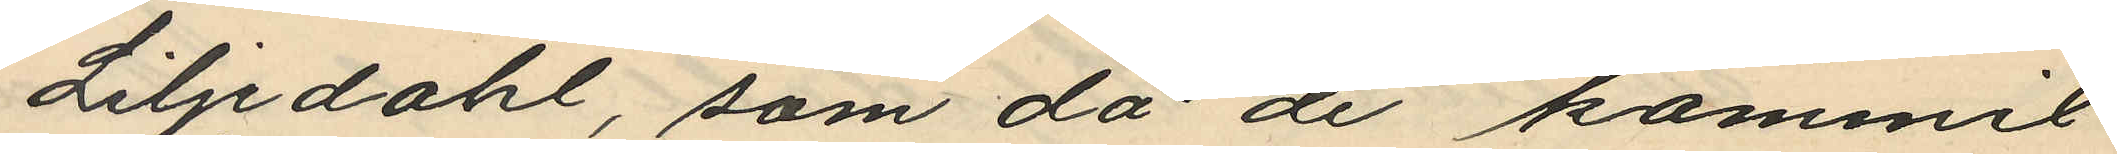Liljedahl, som då de kommit
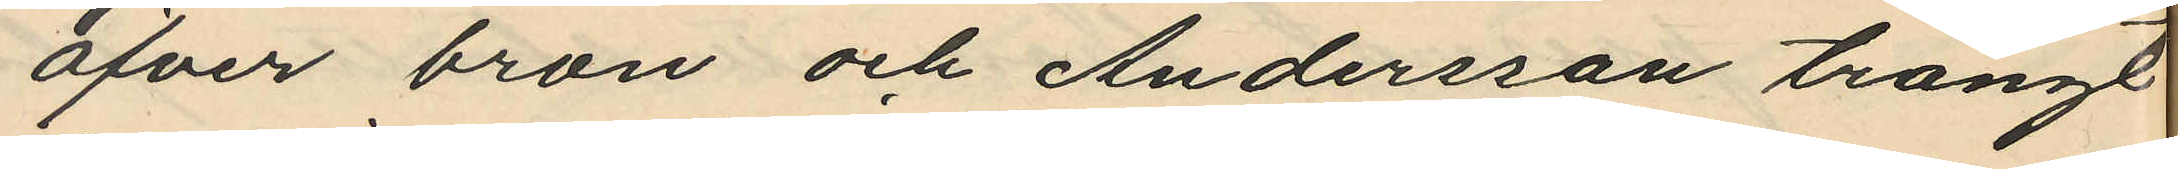öfver bron och Andersson trängt
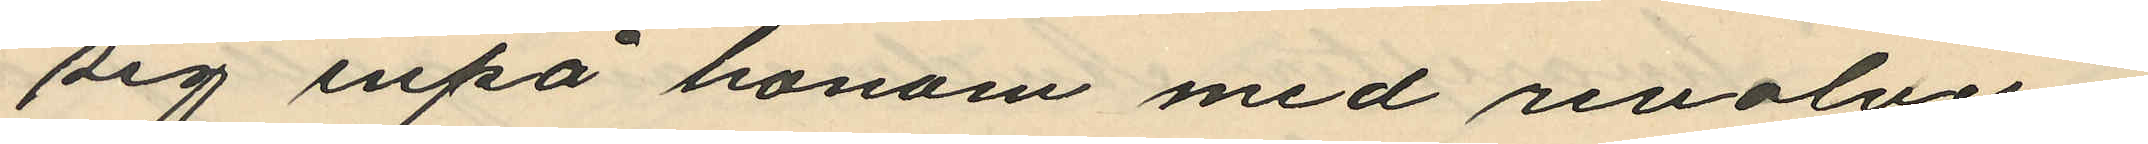sig inpå honom med renolvern
